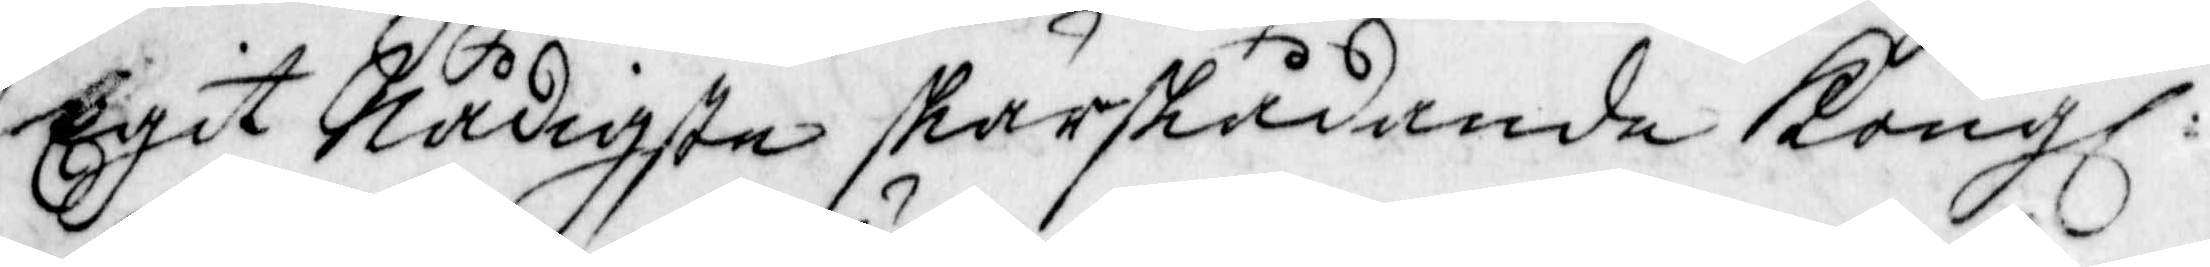Egit Nådigste skärskådande Kongl.
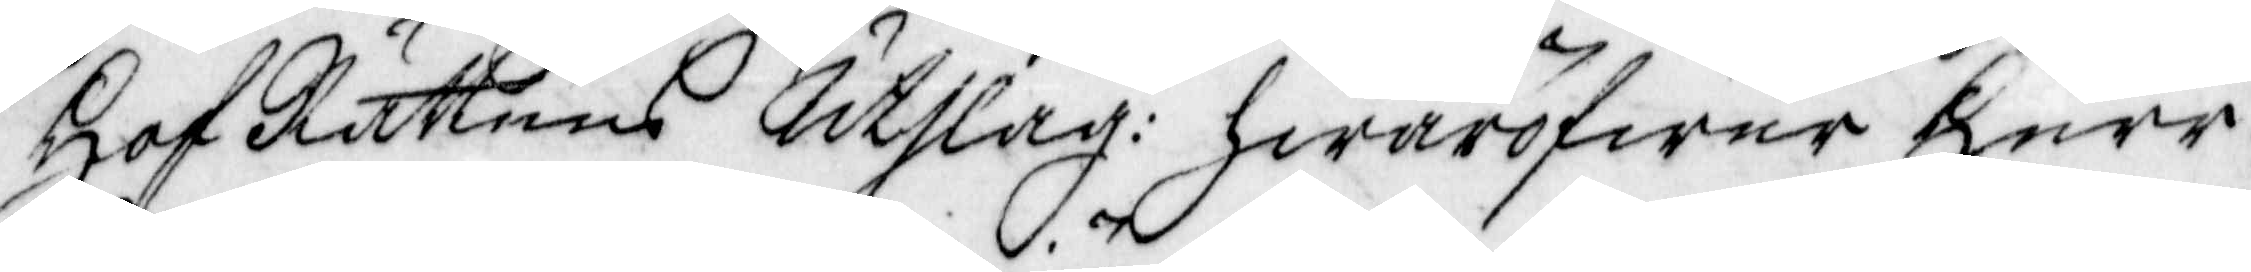HofRättens Utslag: hwaröfwer Herr
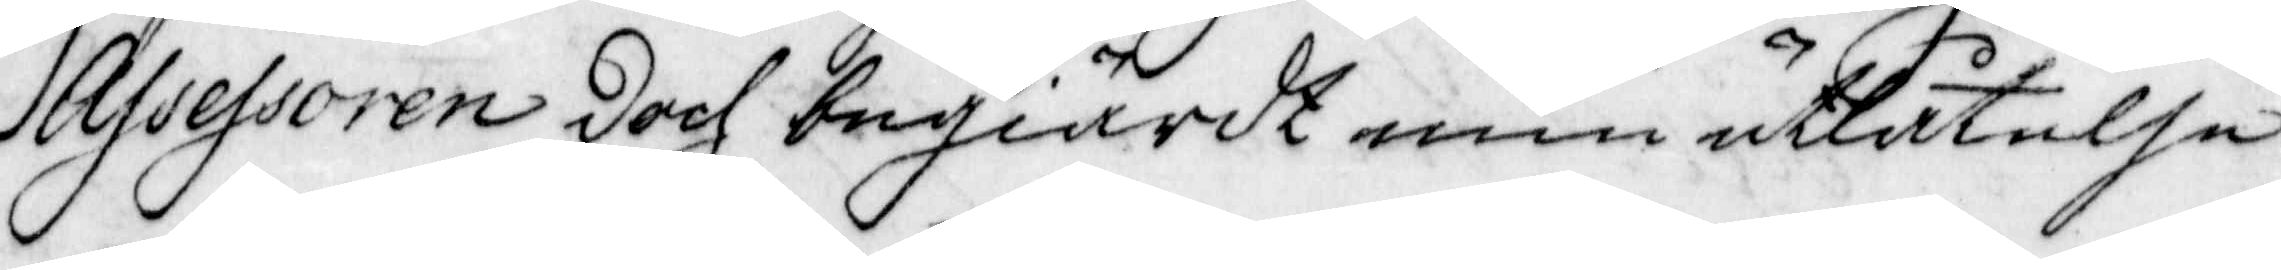Assessoren doch begiärde min utlåtelse.
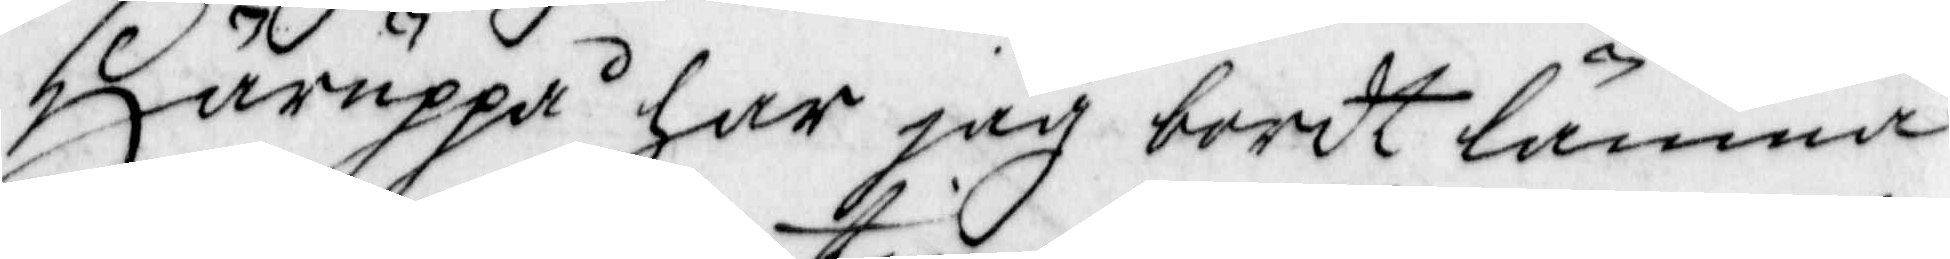Häruppå han jag bordt lämna
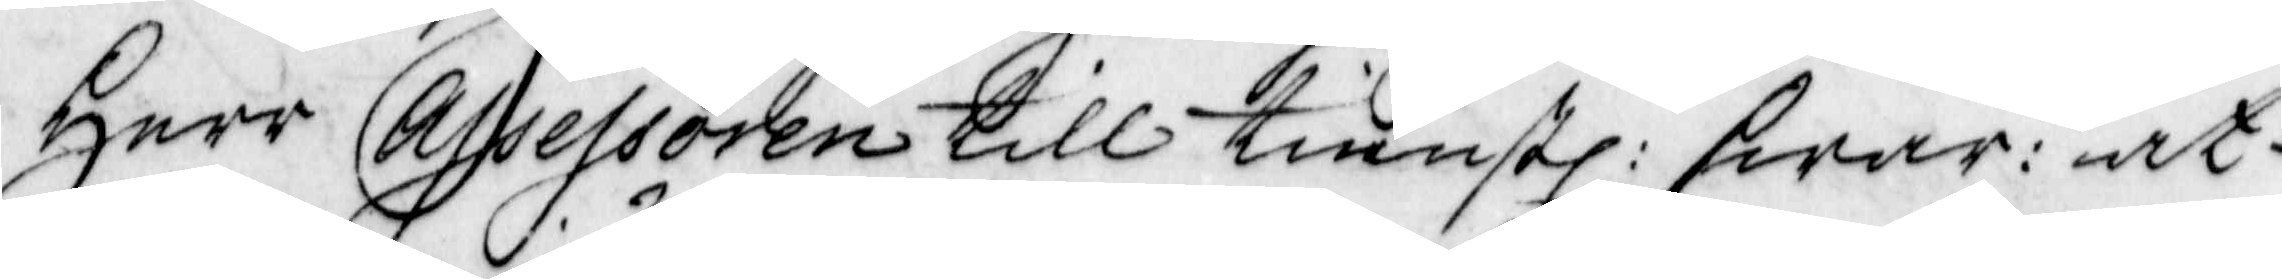Herr Assessoren till tienstl: swar: at
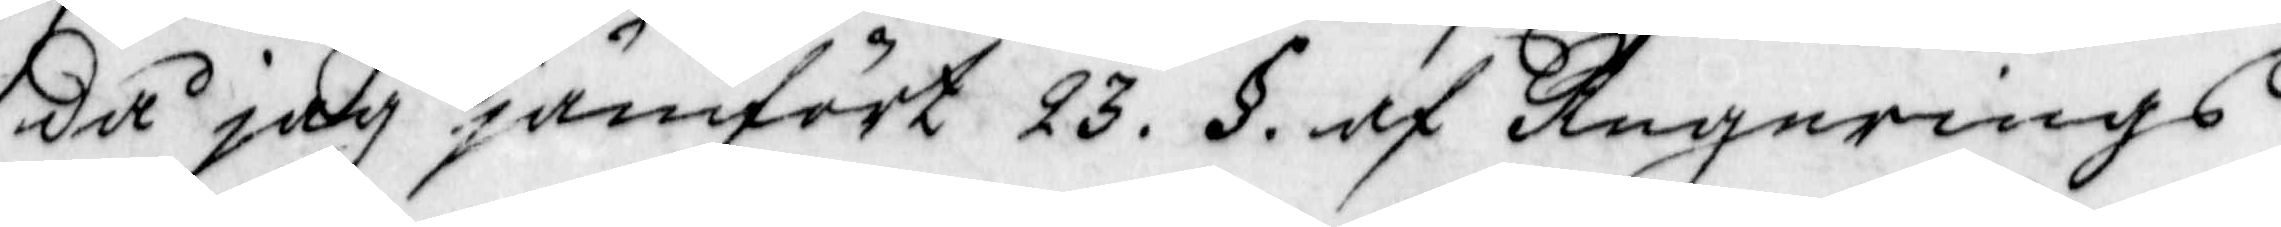då jag jämfört 23. §. af Regerings¬
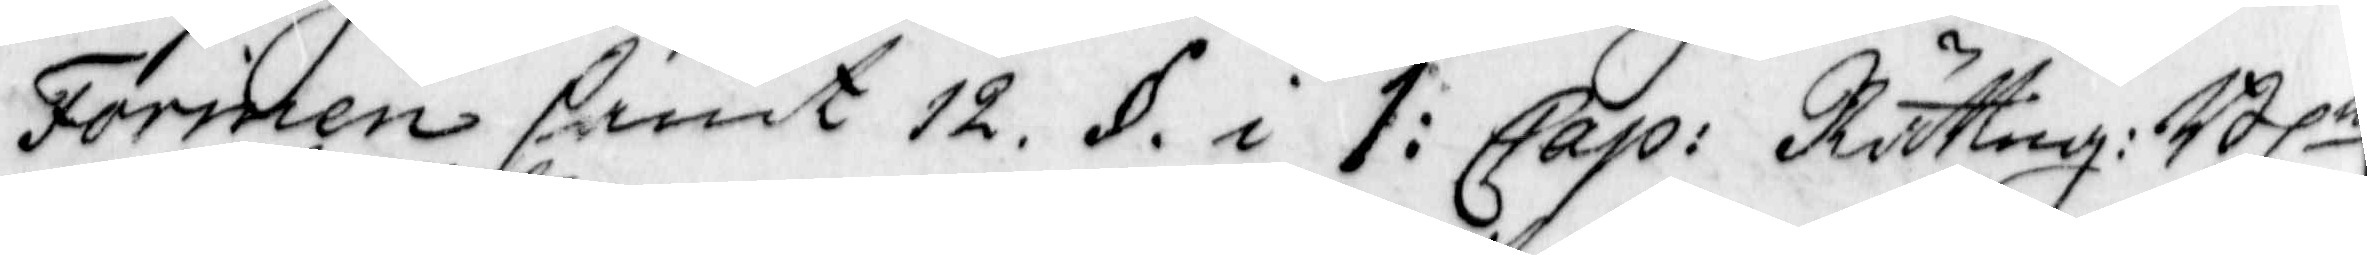Formen samt 12. §. i 1: Cap: Rätteg: Bln
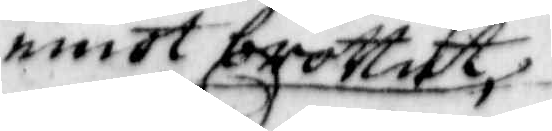emot brottet
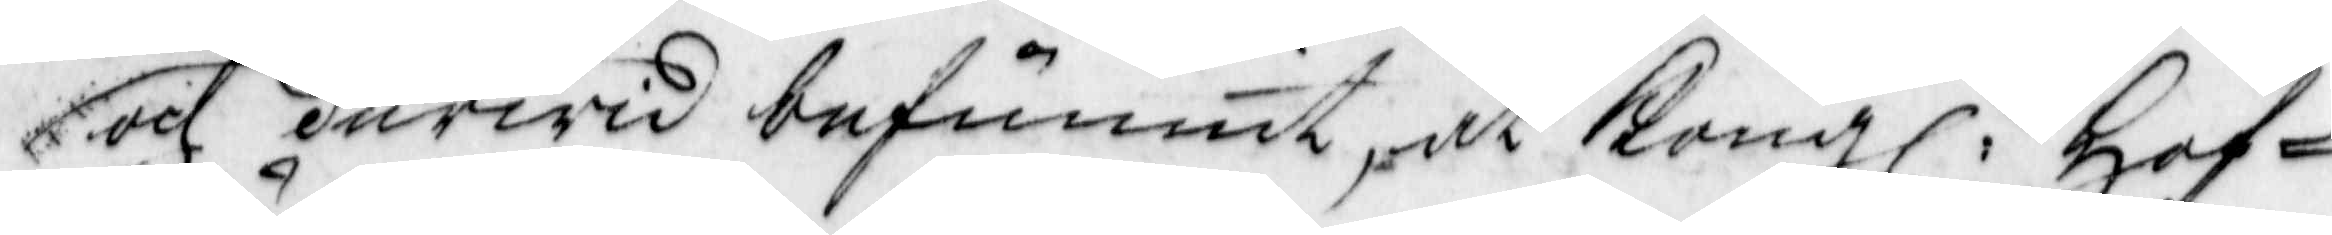och dervid befunnit, at Kongl: Hof¬
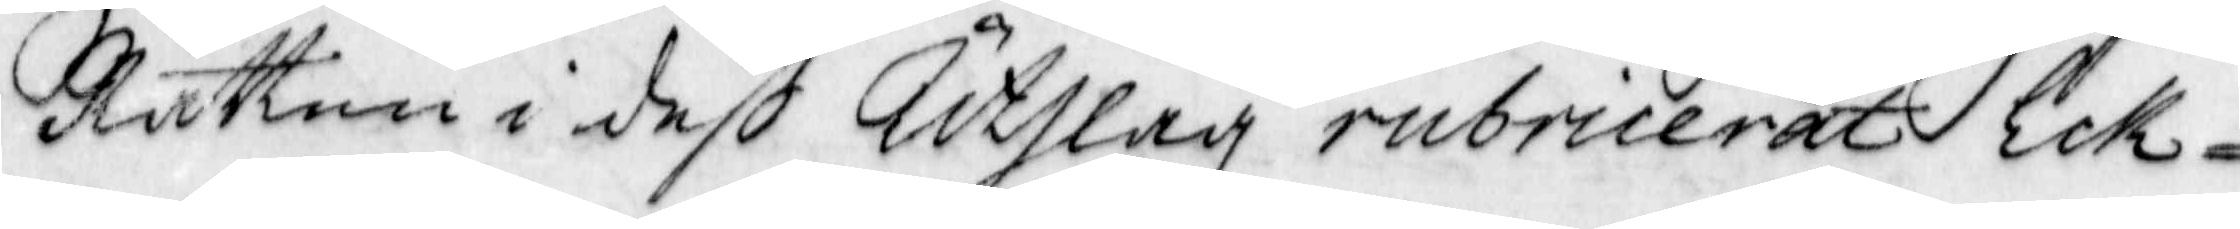Rätten i deß Utslag rubricerat Eck¬
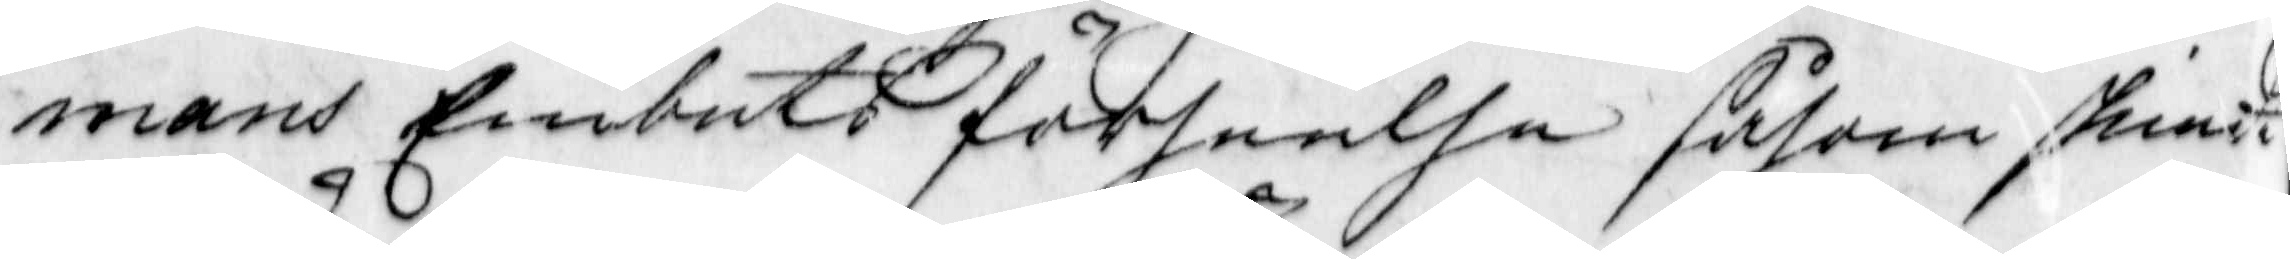mans Embets förseelse såsom skiedt
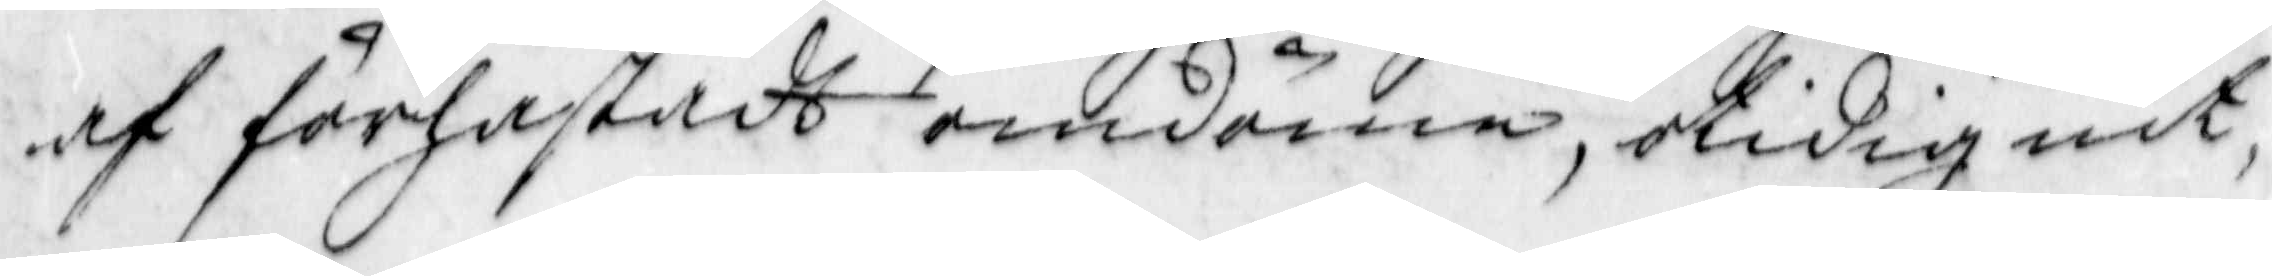af förhastadt omdöme, otidig nit,
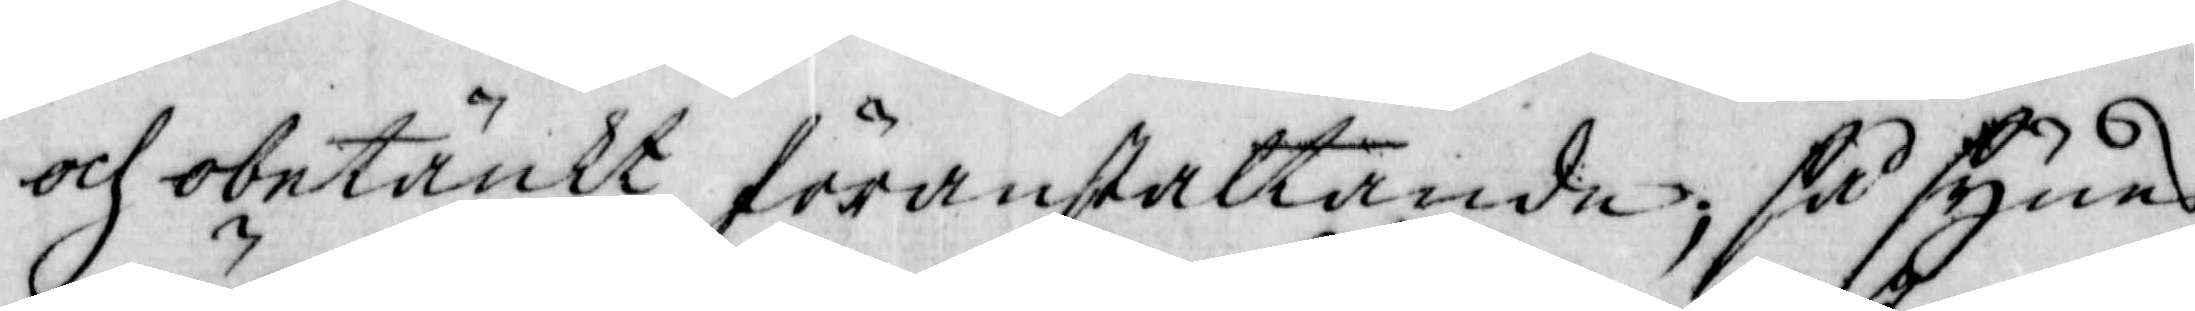och obetänkt föranstaltande så synes
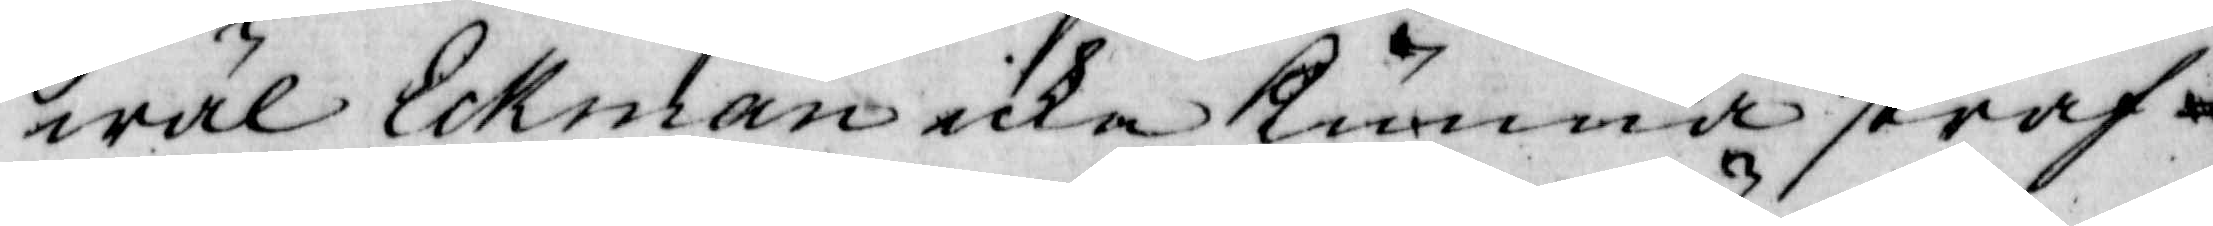wäl Eckman icke kunna straf¬
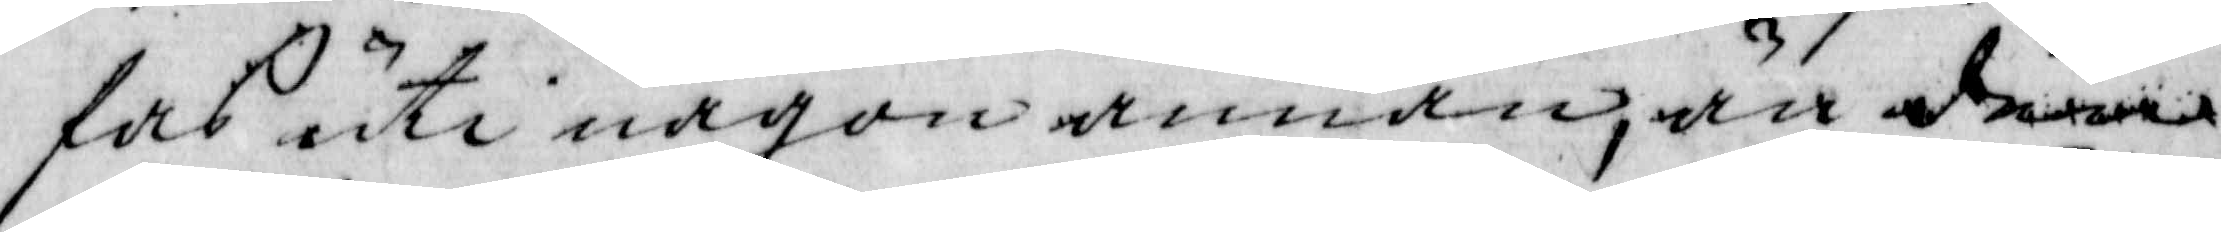fas uti någon annan, än denna
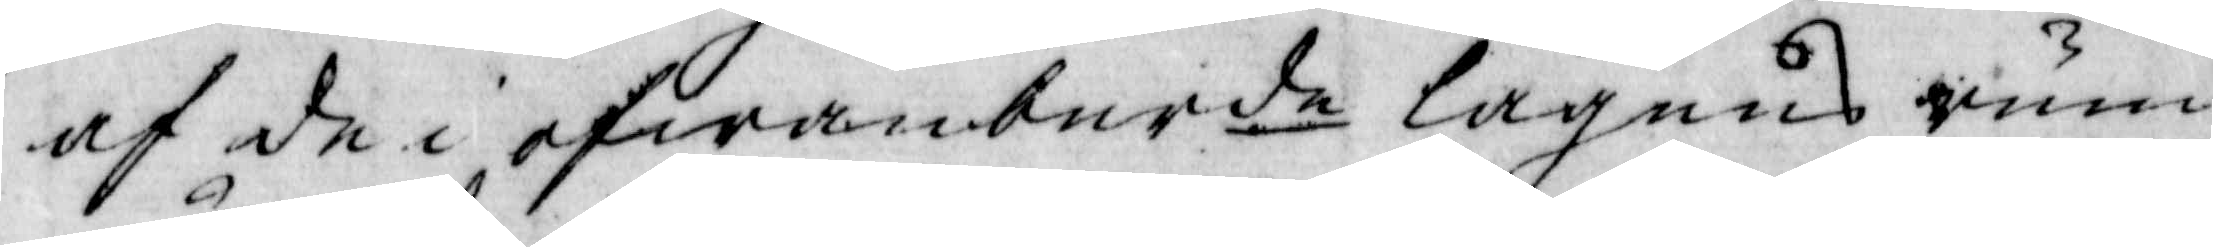af de i ofwanberde lagens rum
